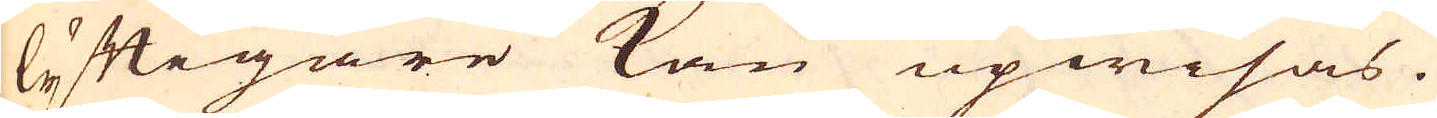lyftigare kan upwisas.
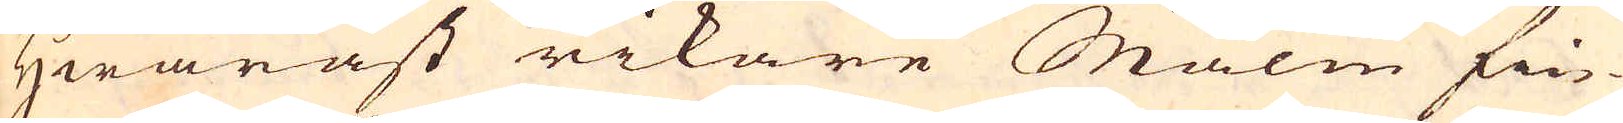Hwaräst rikare Malm fin-
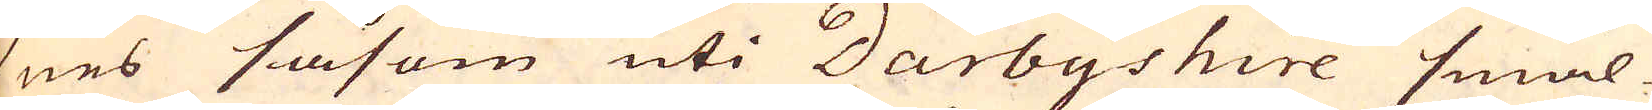nes såsom uti Darbyshire smäl-
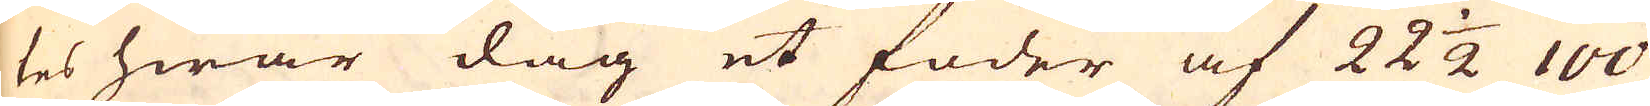tes hwar dag et foder af 22 1/2 100
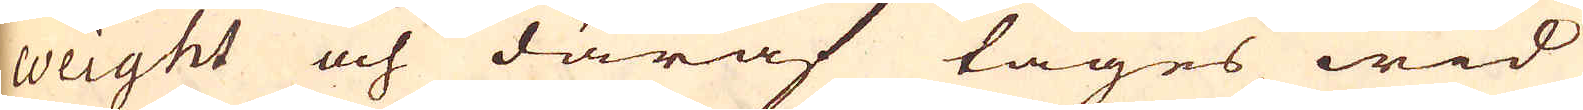weight och däraf tages wid
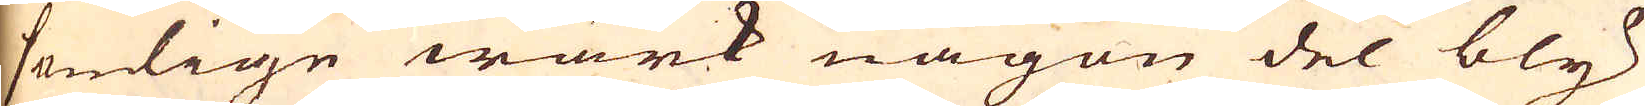somlige wärk någon del bly
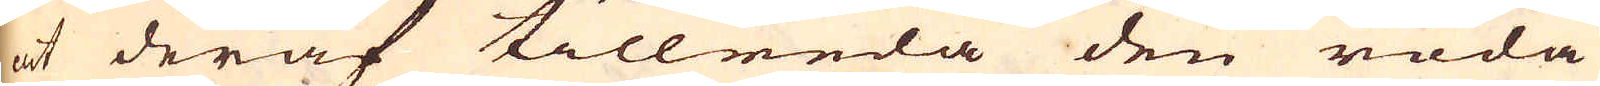at deraf tillreda den röda
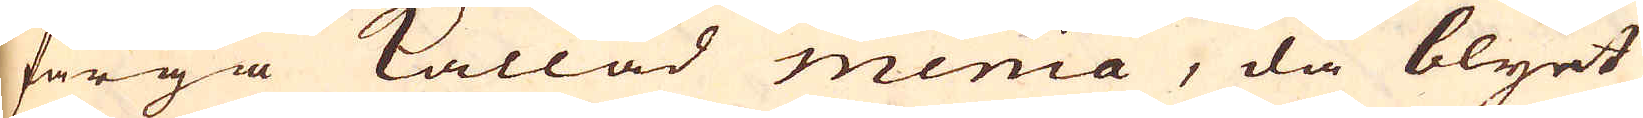färga kallad menia, då blyet
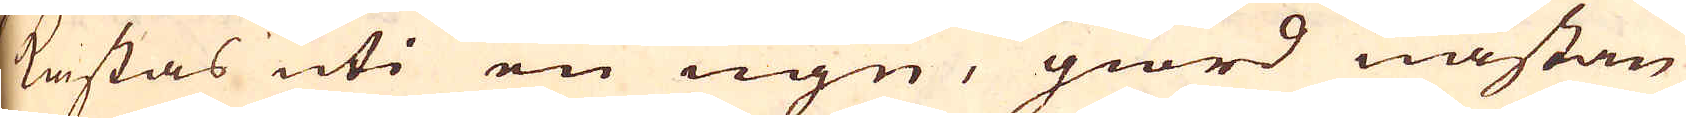kastas uti en ugn, giord nästan
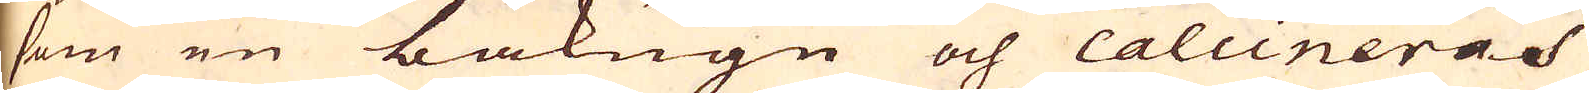som en bakugn och calcineras
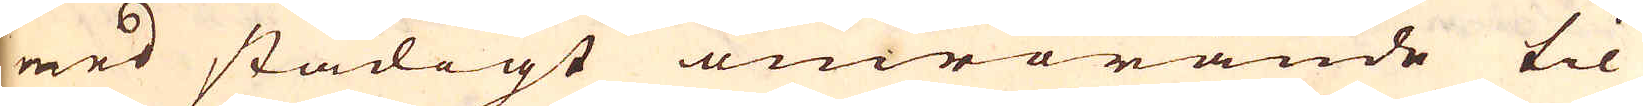med stadigt omrörande til
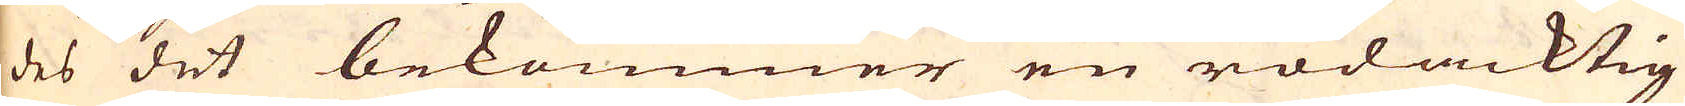des det bekommer en rödacktig
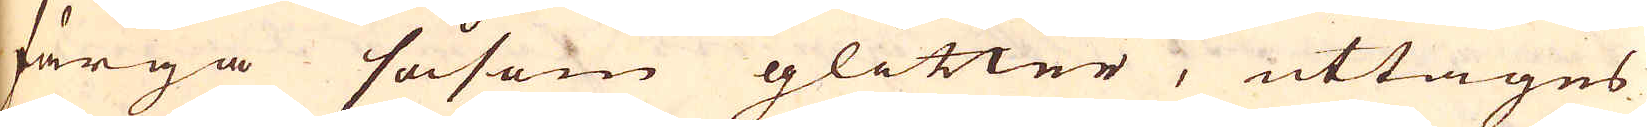färga såsom glitter, uttages
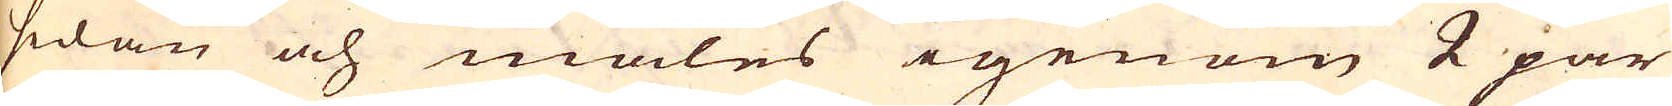sedan och males igenom 2 par
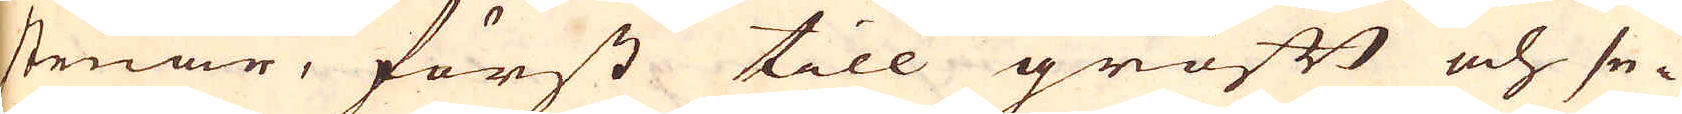stenar, först till groft och se-
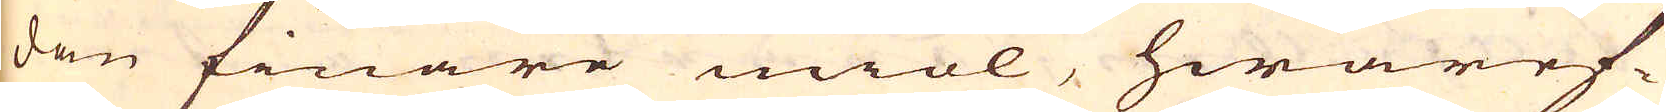dan finare miöl, hwaref-
